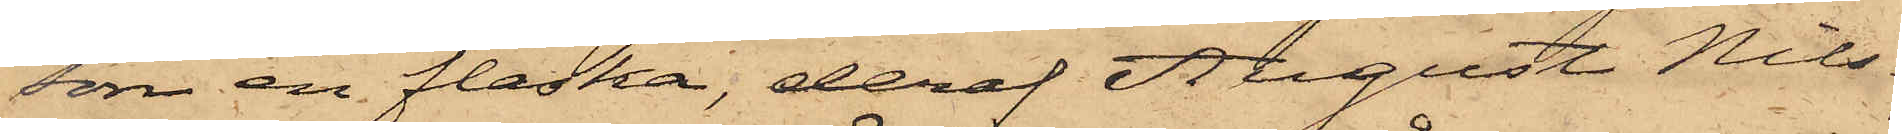som en flaska, deraf August Nils¬
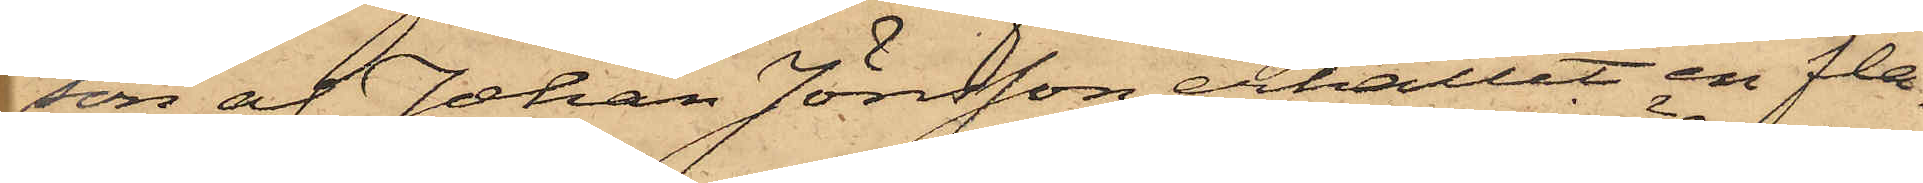son af Johan Jönsson erhållit en fla¬
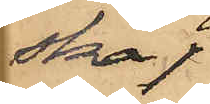ska,
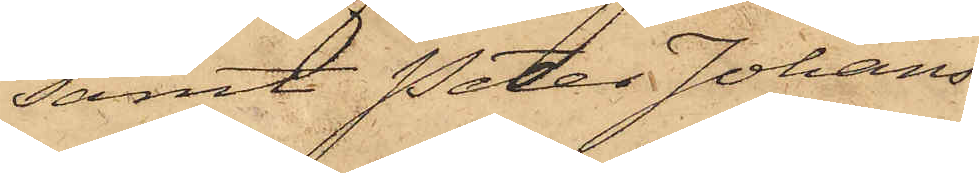samt Peter Johans¬
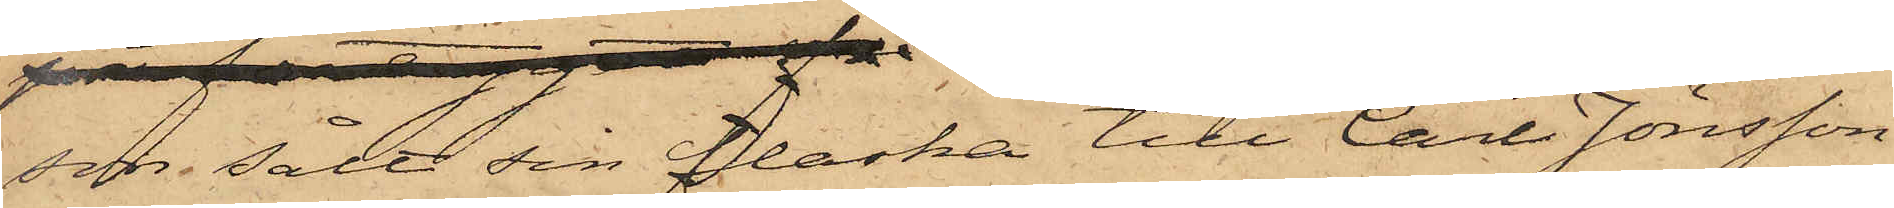 son sålt sin flaska till Carl Jönsson
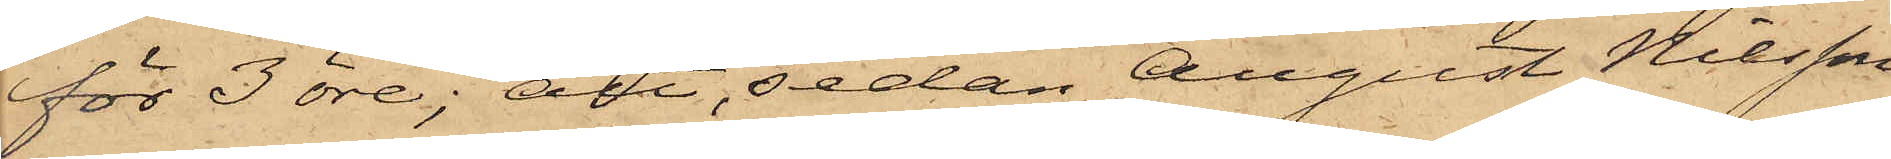för 3 öre; att sedan August Nilsson
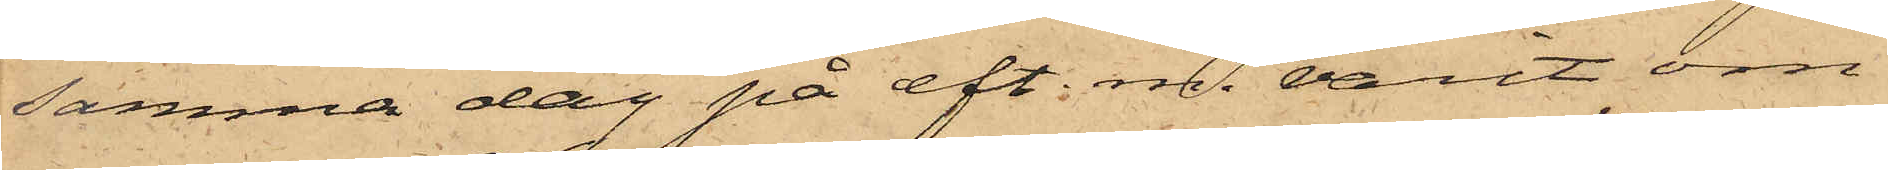samma dag på eft. m. varit om¬
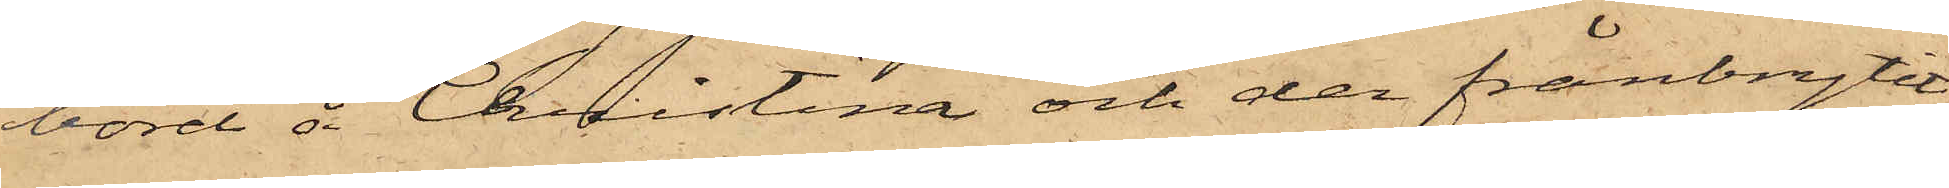bord å Christina och der frånbrytit
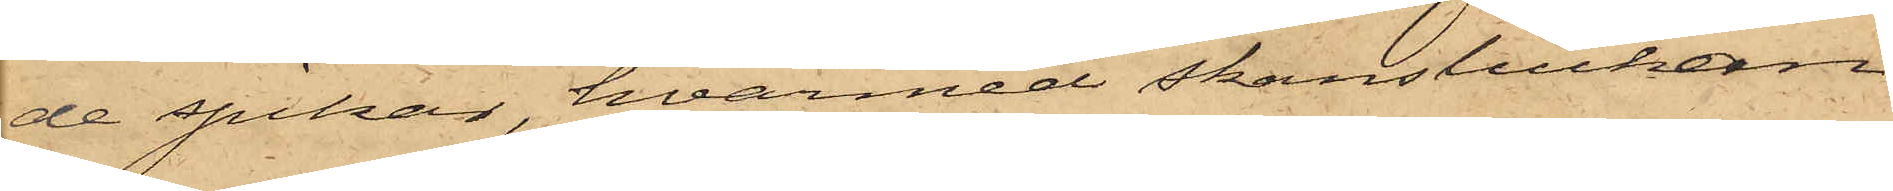de spikar, hvarmed skansluckan
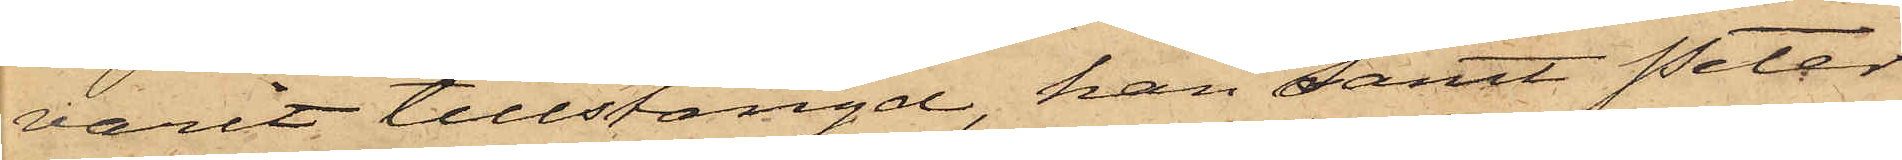varit tillstängd, han samt Peter
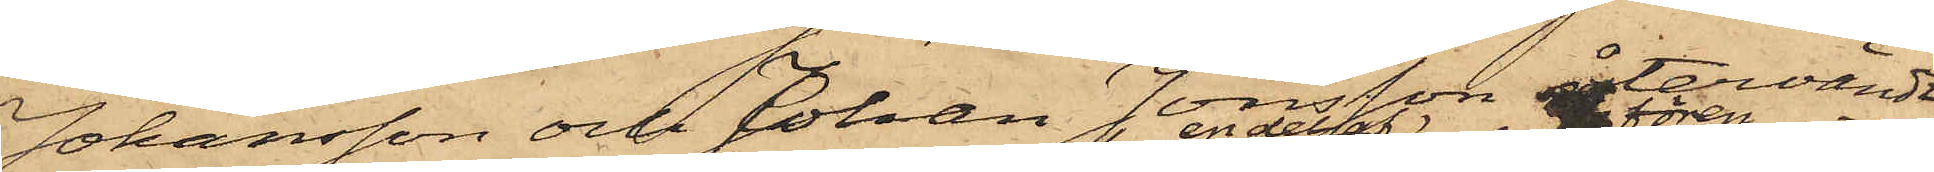Johansson och Johan Jönsson återvändt
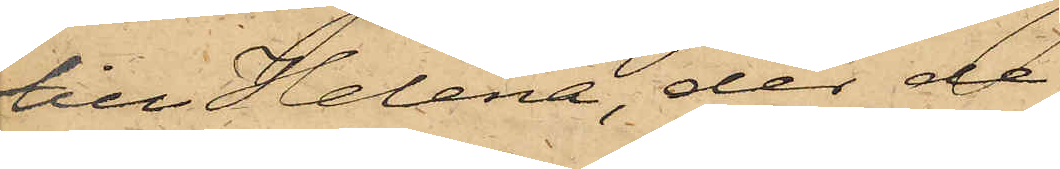till Helena, der de
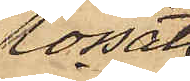lossat
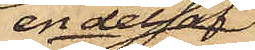en del av
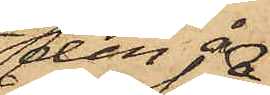den å 
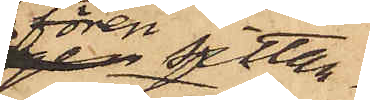fören sittan¬
